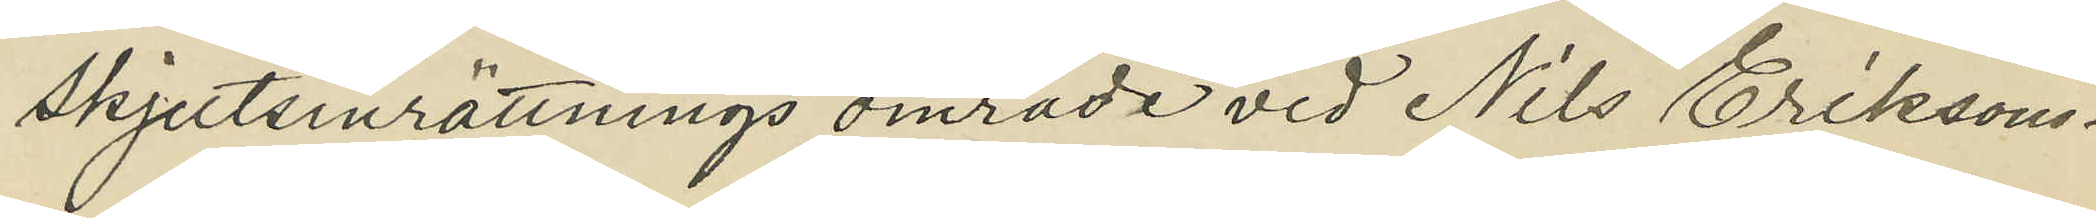skjutsinrättnings område vid Nils Eriksons¬
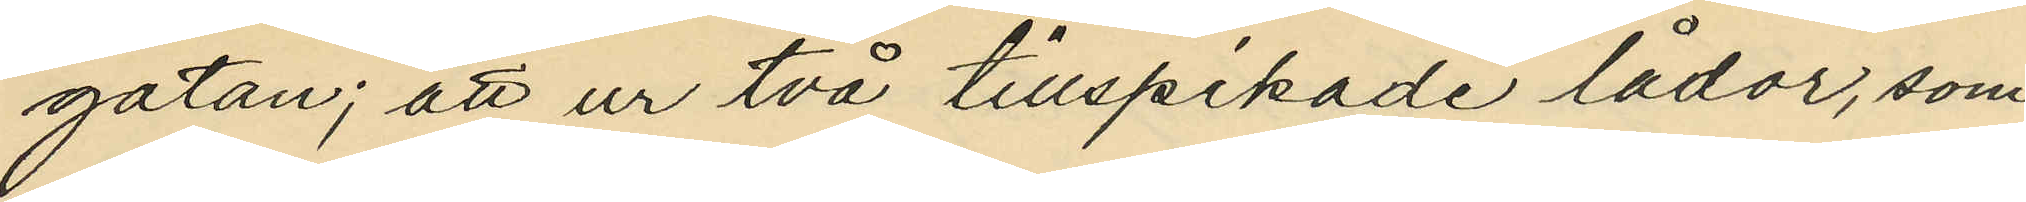gatan; att ur två tillspikade lådor, som
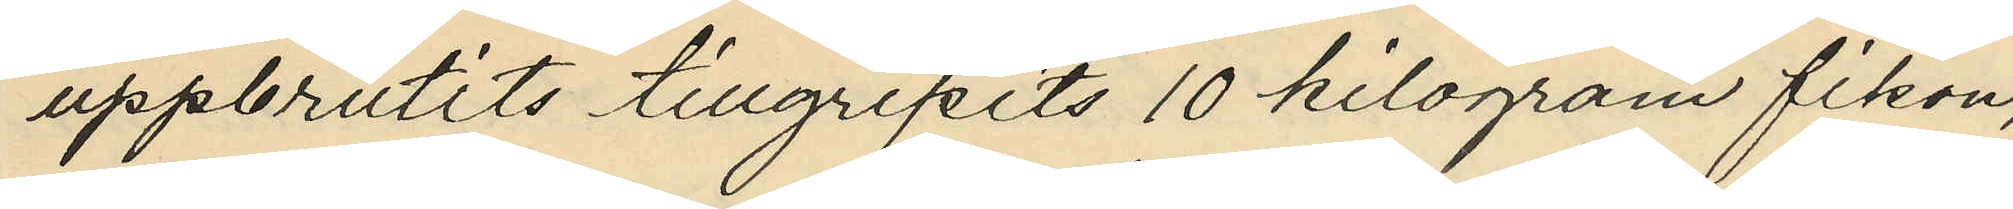uppbrutits tillgripits 10 kilogram fikon,
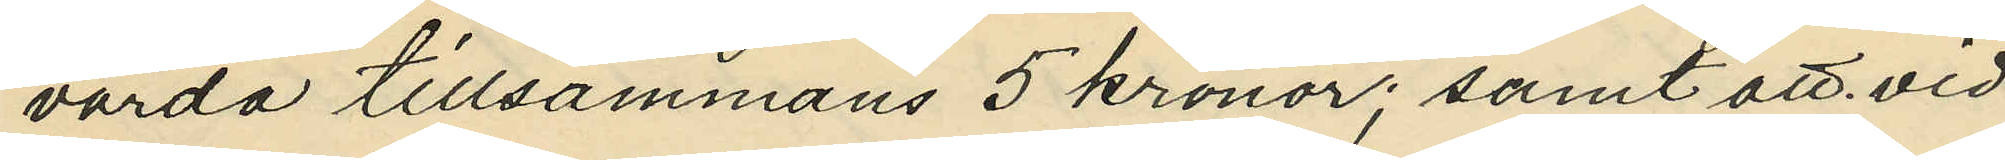värda tillsammans 5 kronor; samt att vid
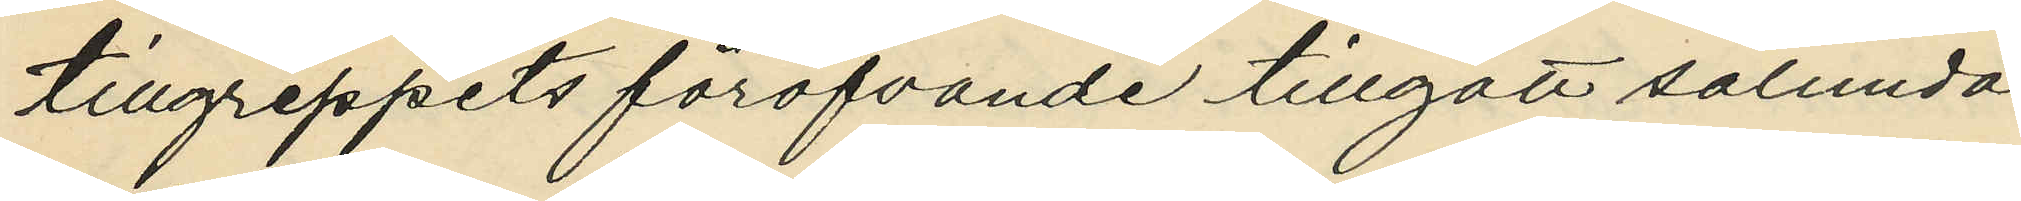tillgreppets föröfvande tillgått sålunda,
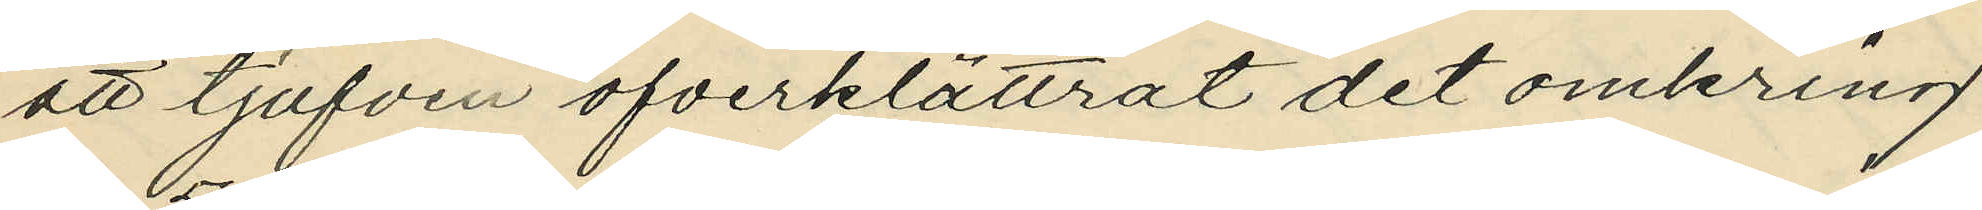att tjufven öfverklättrat det omkring
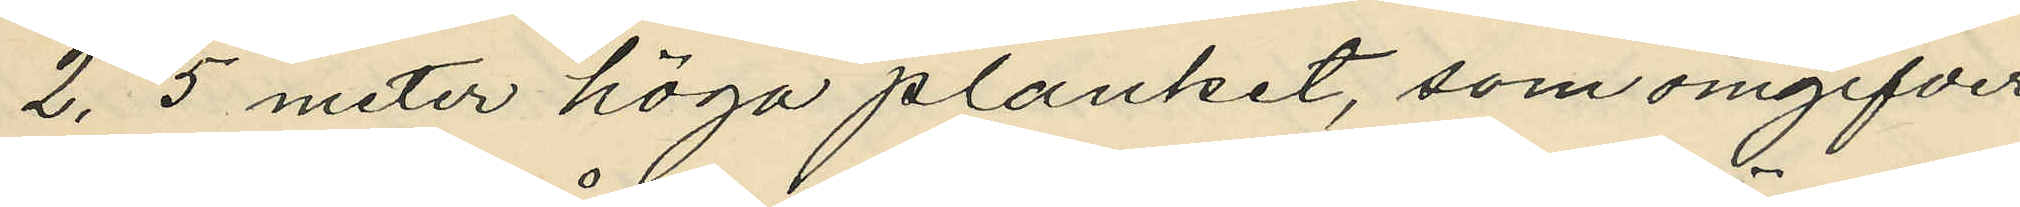2,5 meter höga planket, som omgifver
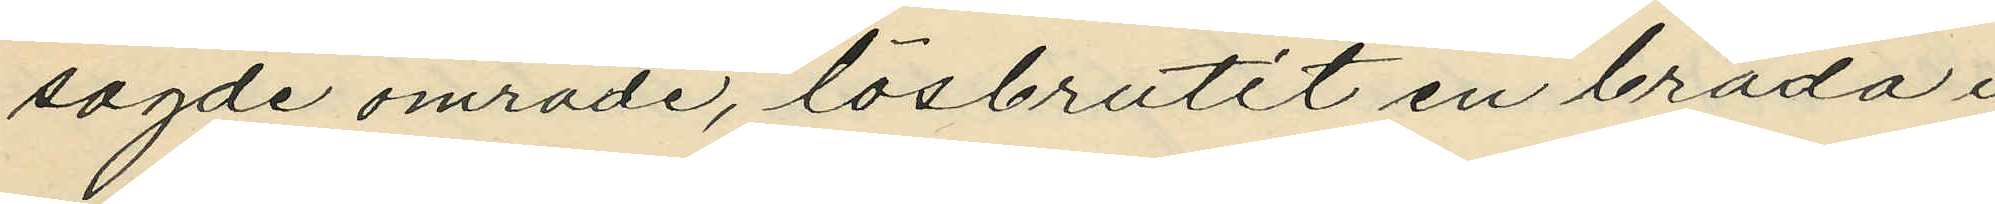sagde område, lösbrutit en bräda i
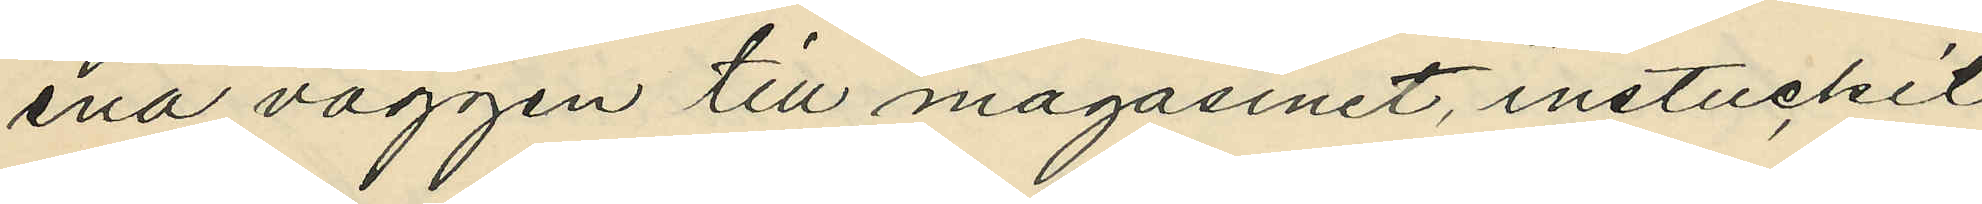ena väggen till magasinet, instuckit
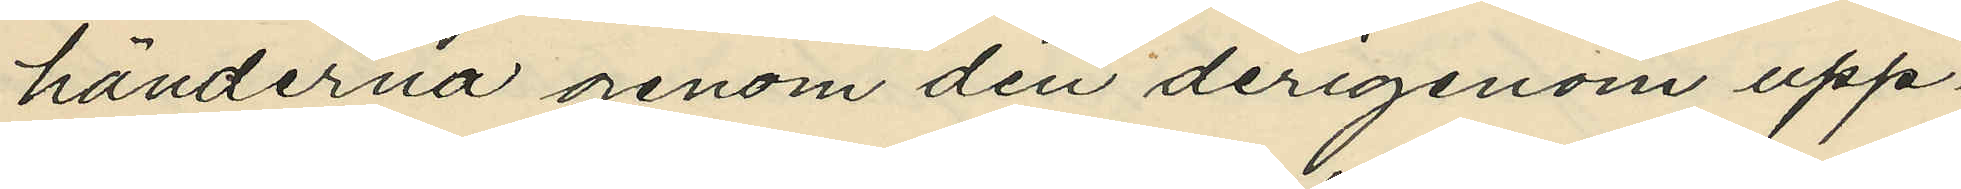händerna genom den derigenom upp¬
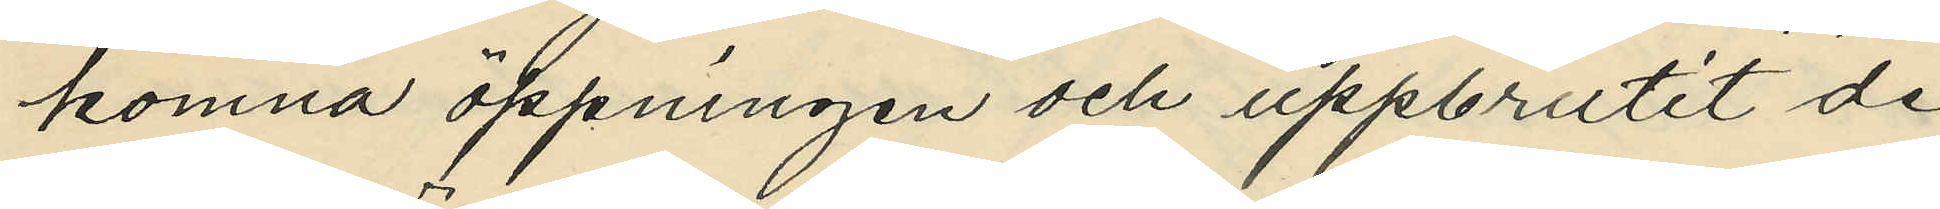komna öppningen och uppbrutit de
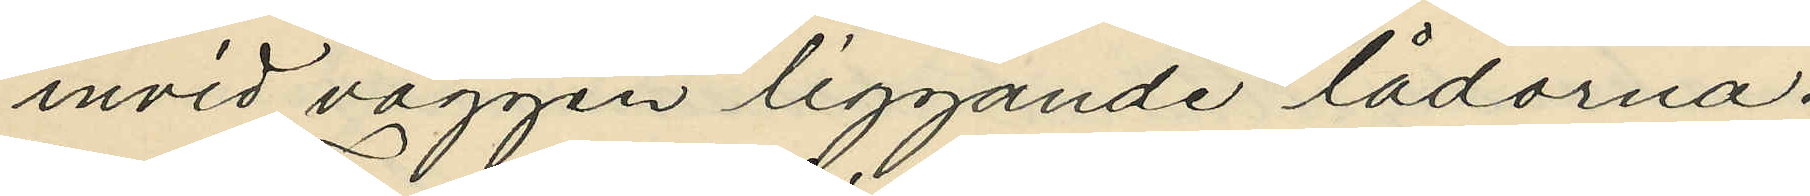invid väggen liggande lådorna.
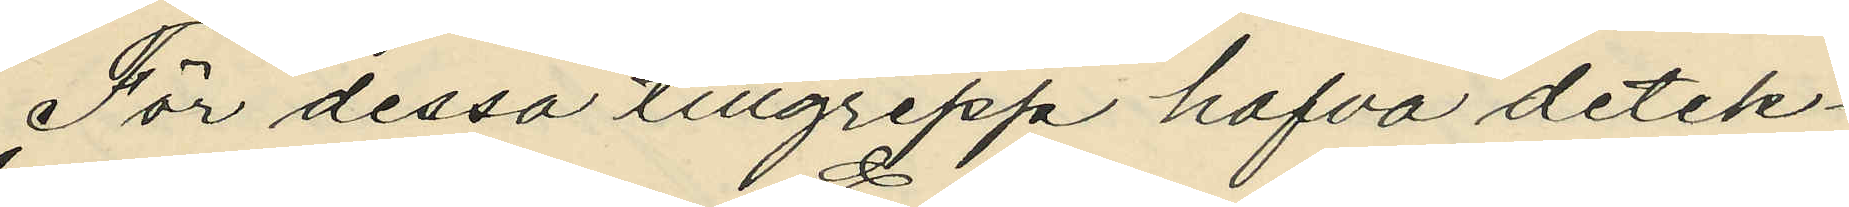För dessa tillgrepp hafva detek¬
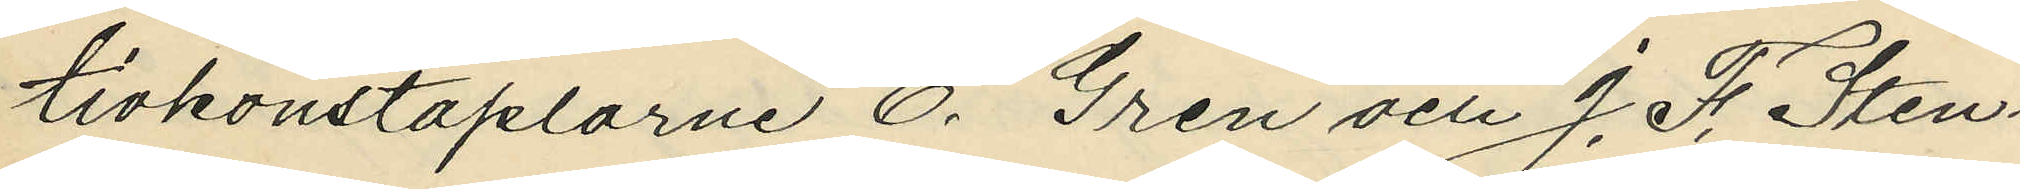tivkonstaplarne E. Gren och J. F. Sten¬
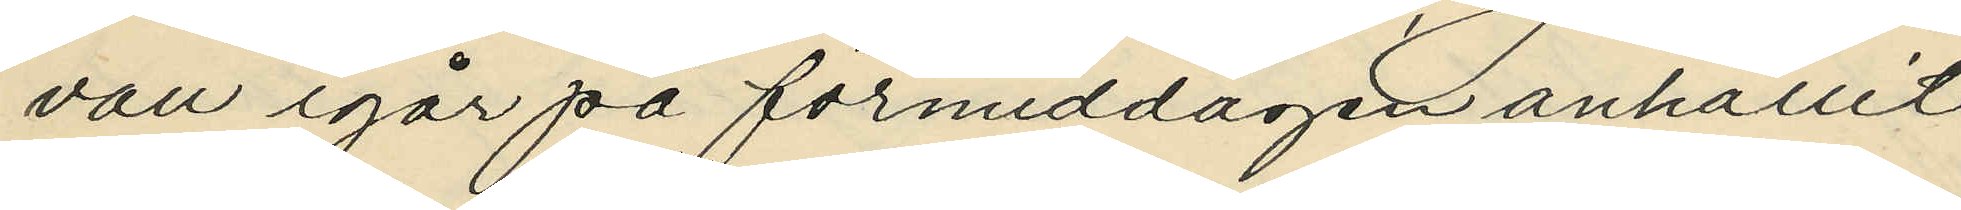vall igår på förmiddagen anhållit
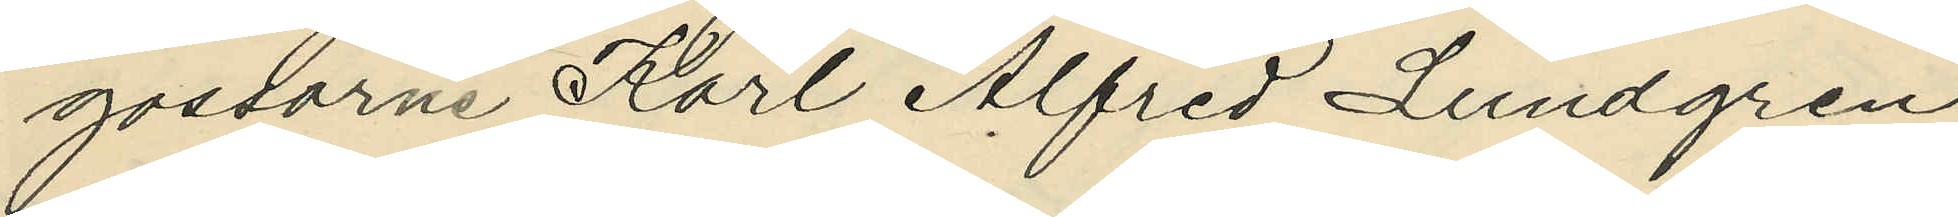gossarne Karl Alfred Lundgren, 
